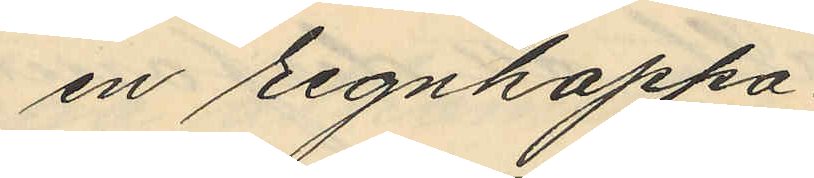en regnkappa
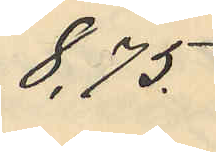8,75.
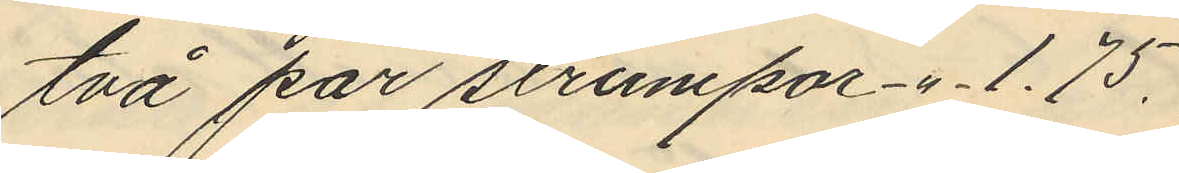två par strumpor -"- 1.75.
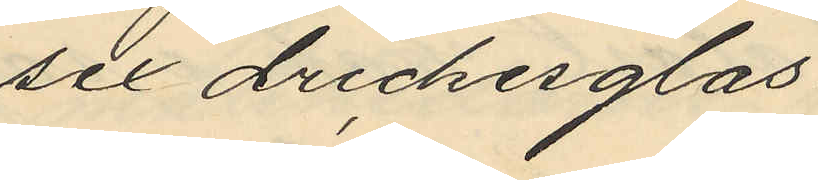sex drickesglas
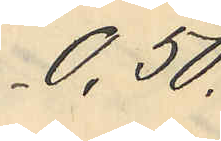0,50
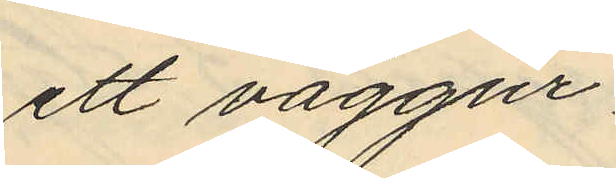ett väggur
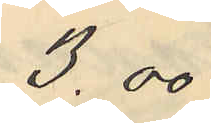3,00
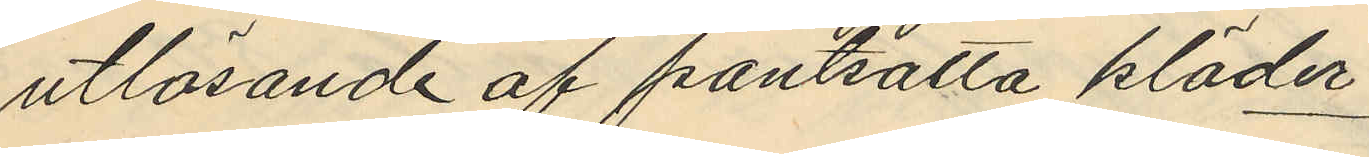utlösande af pantsatta kläder
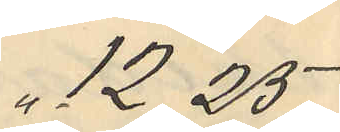" 12.25
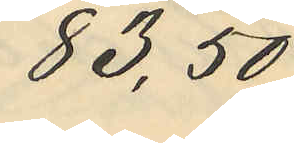83,50
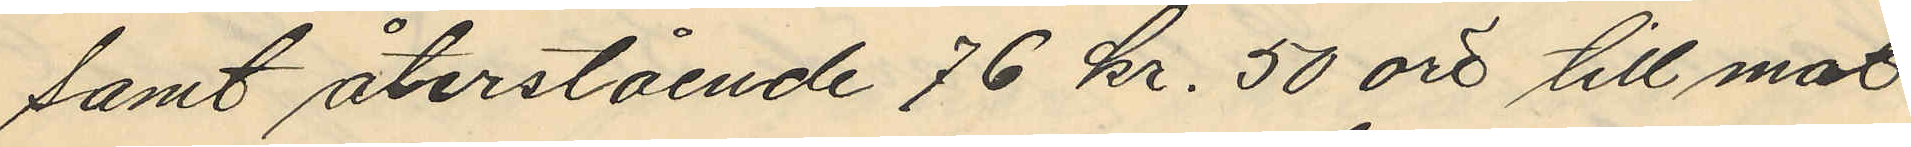samt återstående 76 kr. 50 öre till mat
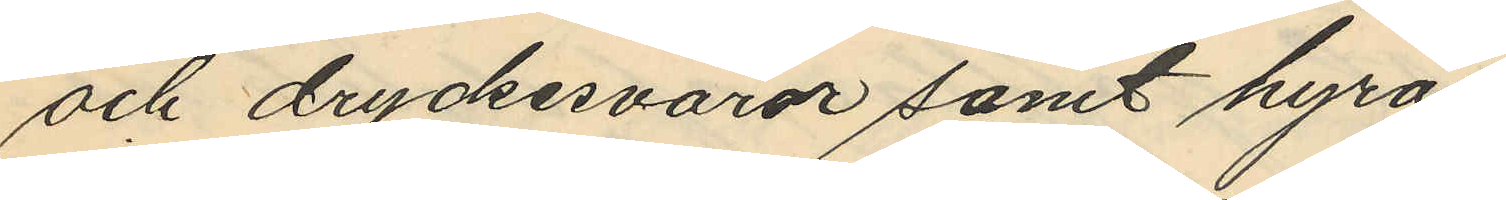och dryckesvaror samt hyra
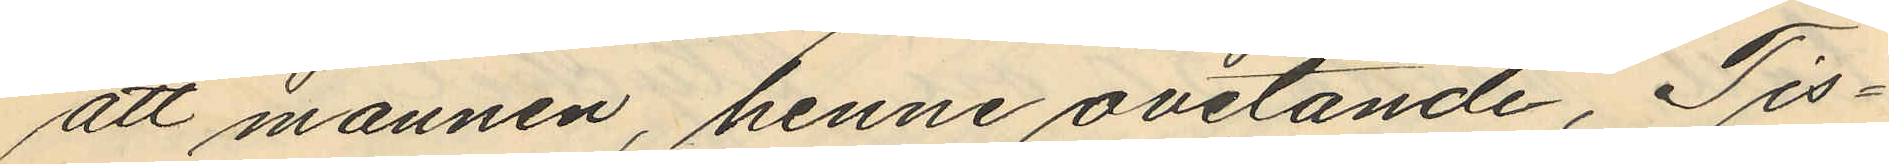att mannen, henne ovetande, Tis¬
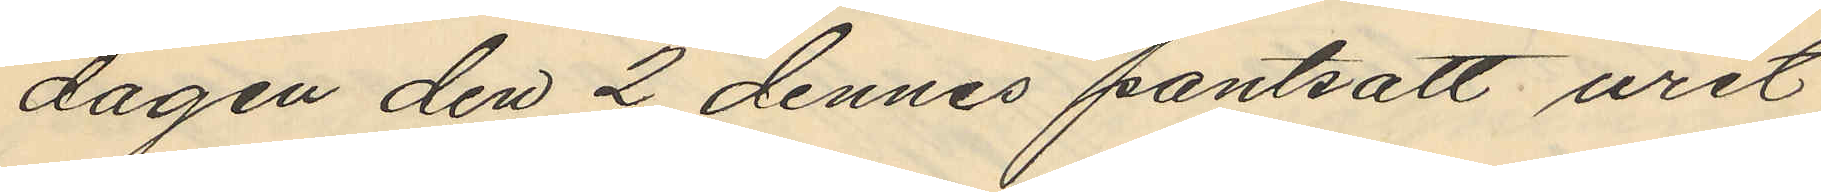dagen den 2 dennes pantsatt uret
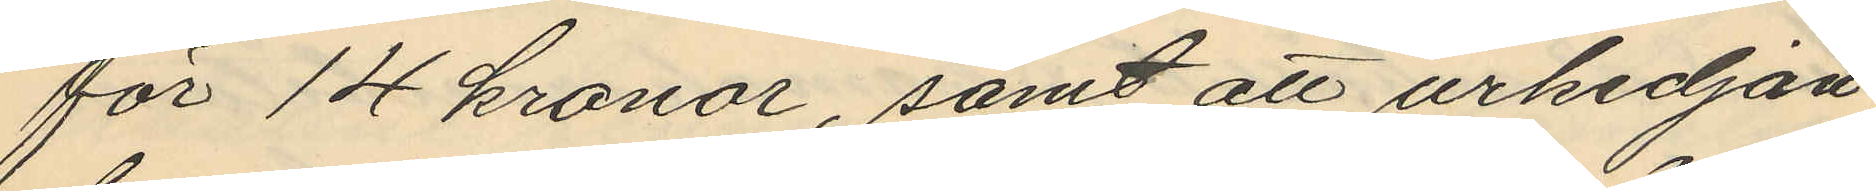för 14 kronor, samt att urkedjan,
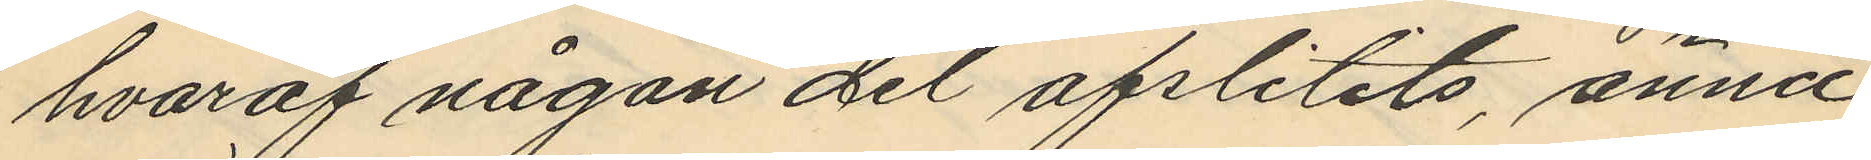hvaraf någon del afslitits, ännu
